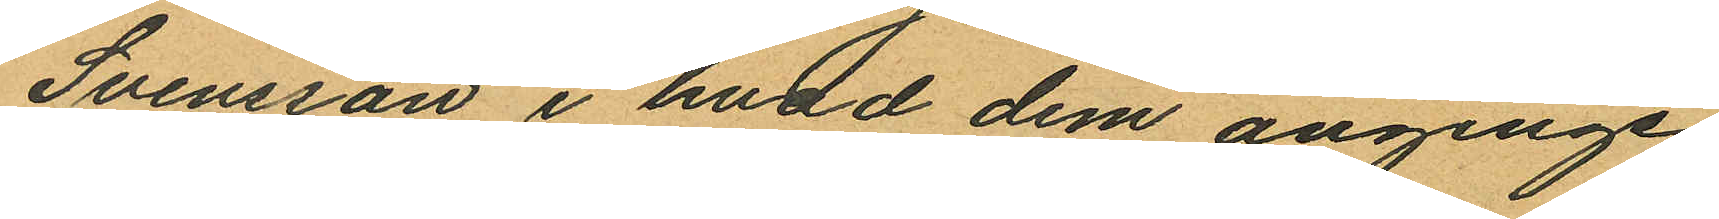Svensson i hvad dem anginge
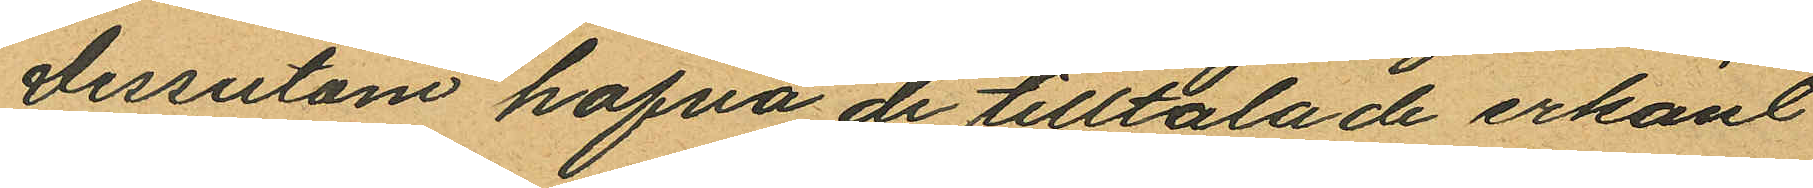Dessutom hafva de tilltalade erkänt
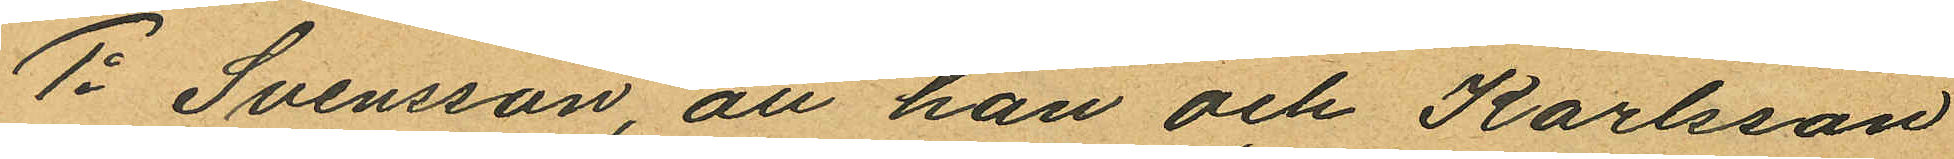1o Svensson, att han och Karlsson
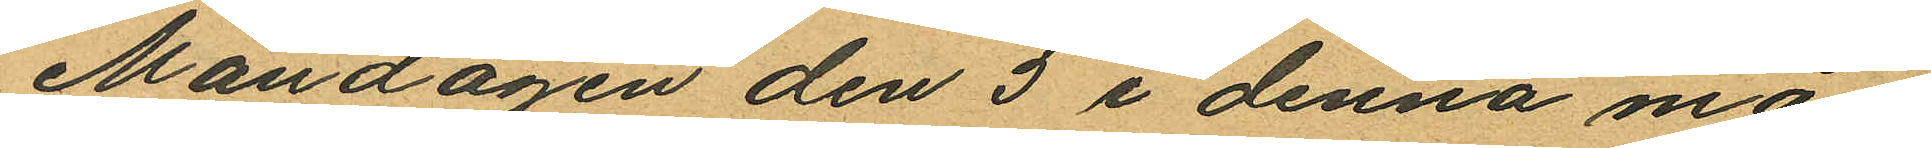Måndagen den 5 i denna må¬
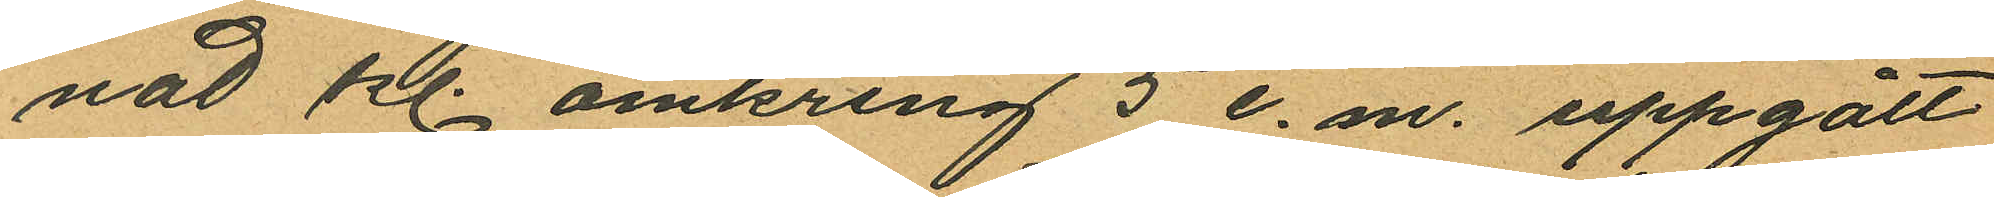nad kl. omkring 5 e. m. uppgått
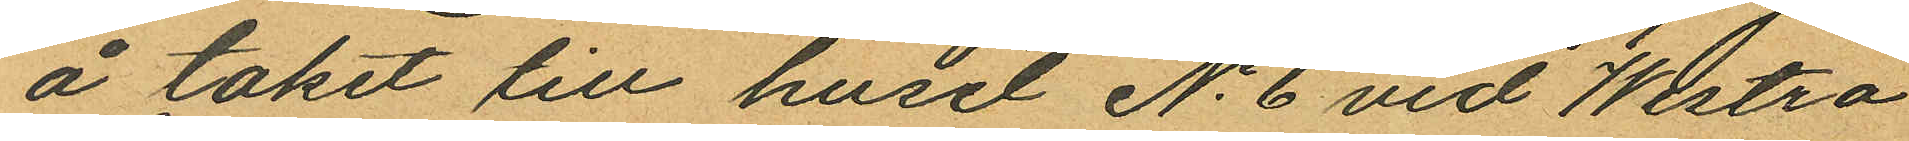å taket till huset No 6 vid Westra
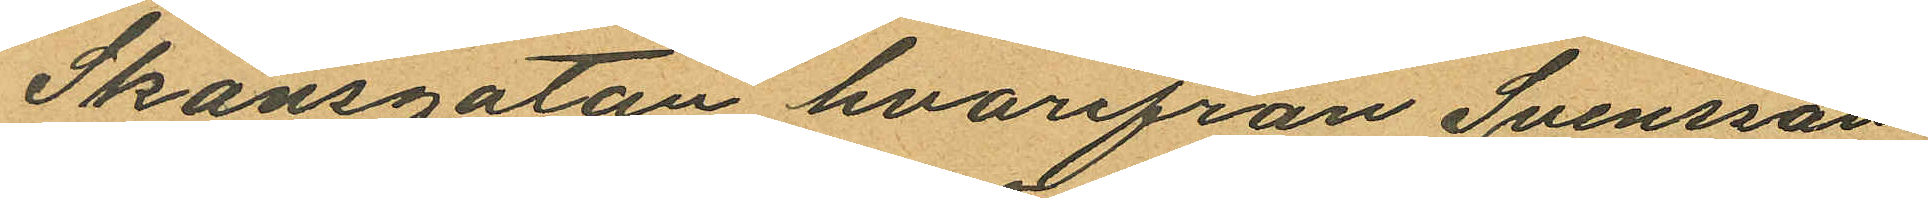Skansgatan hvarifrån Svensson
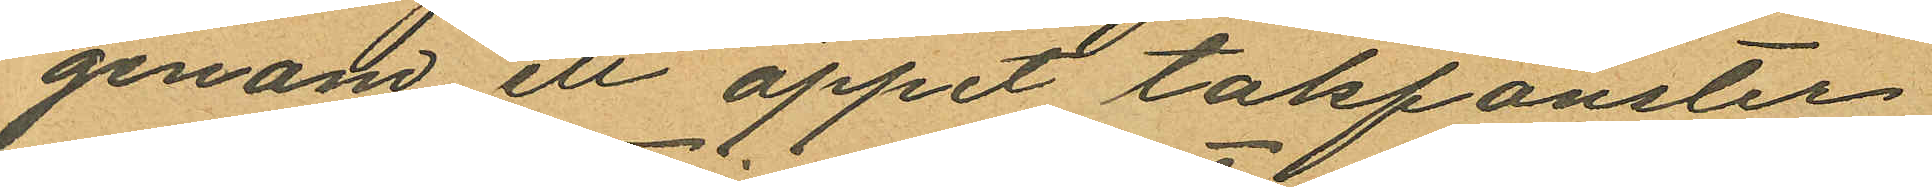genom ett öppet takfönster
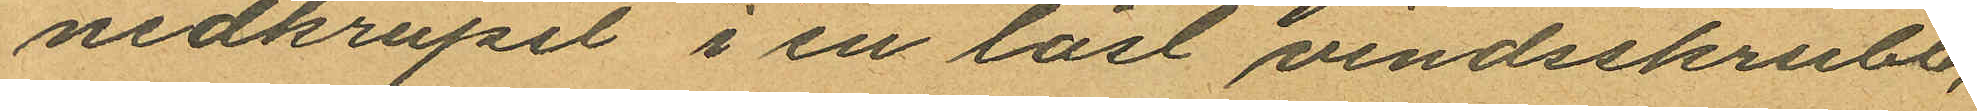nedkrupit i en låst vindsskrubb,
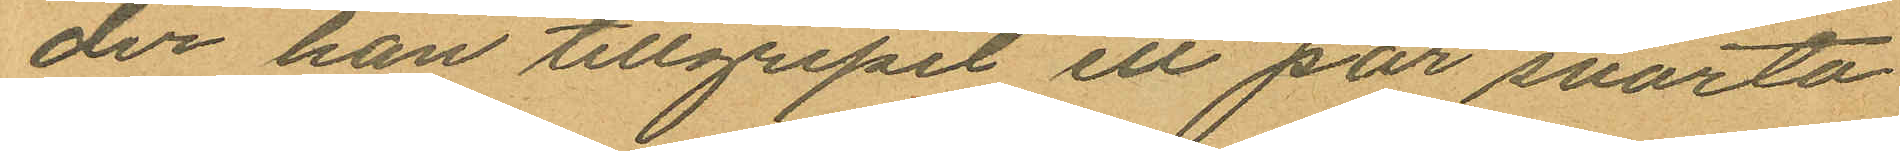der han tillgripit ett par svarta
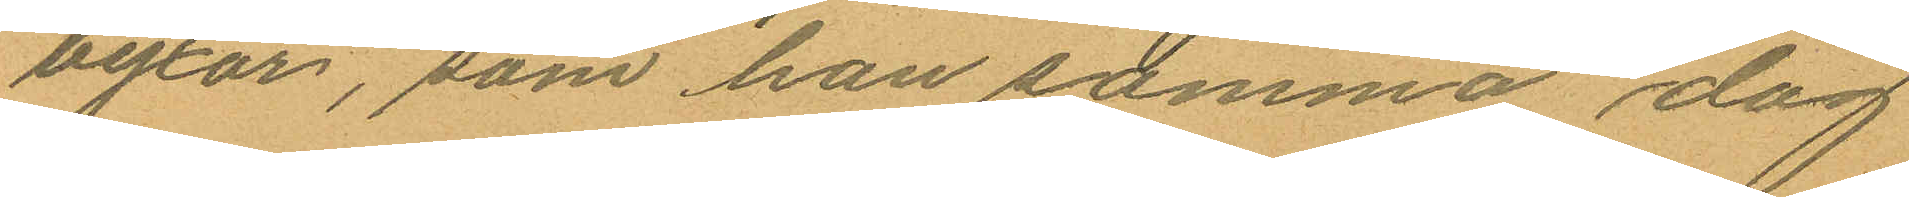byxor, som han samma dag
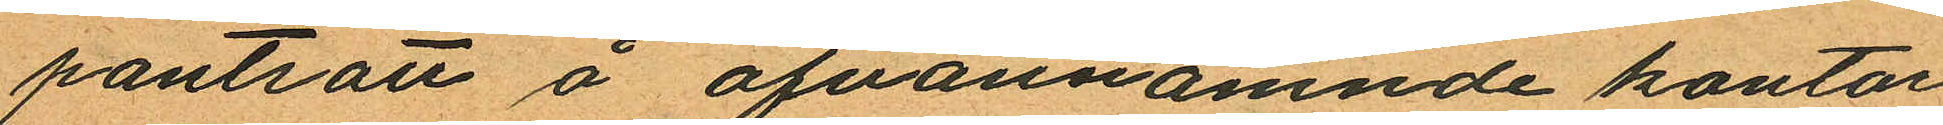pantsatt å ofvannämnde kontor
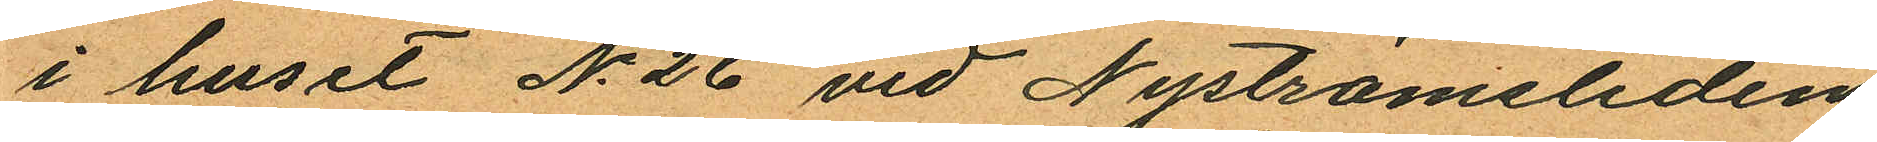i huset No 26 vid Nyströmsliden
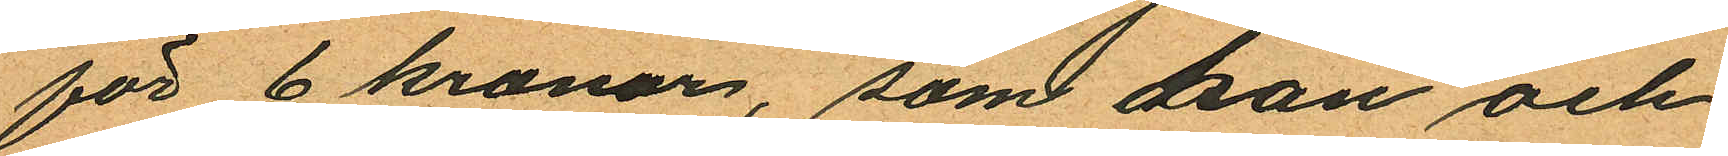för 6 kronor, som han och
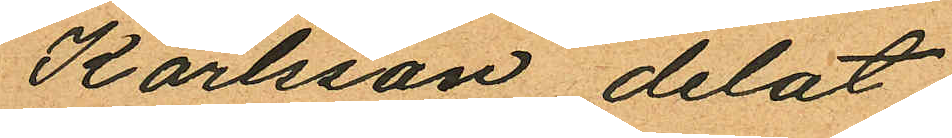Karlsson delat;
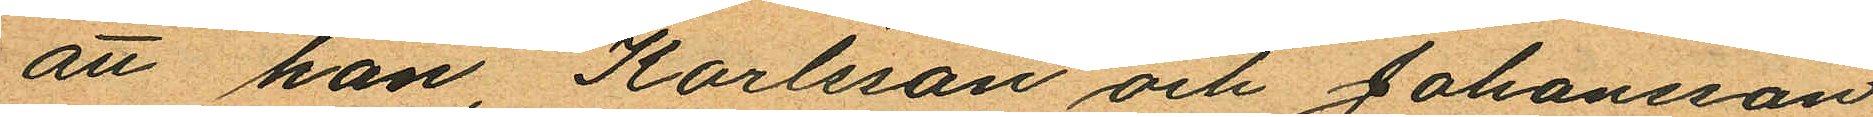att han, Karlsson och Johansson
